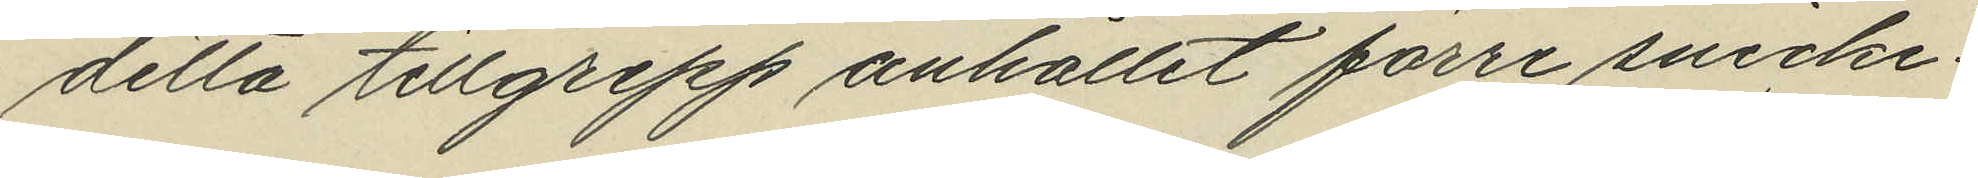detta tillgrepp anhållit förre snicke¬
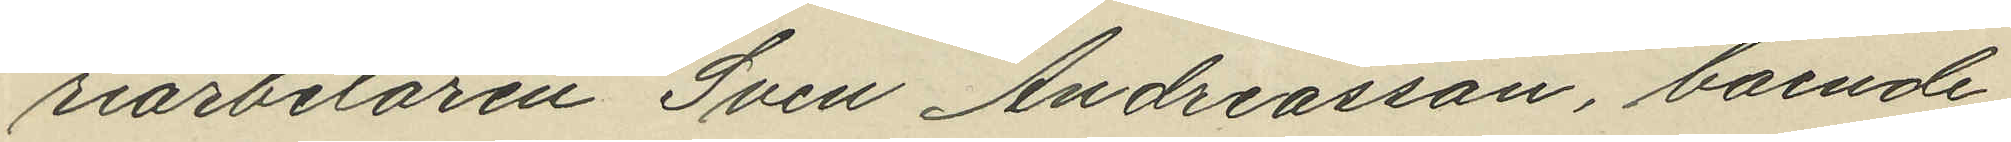riarbetaren Sven Andreasson, boende
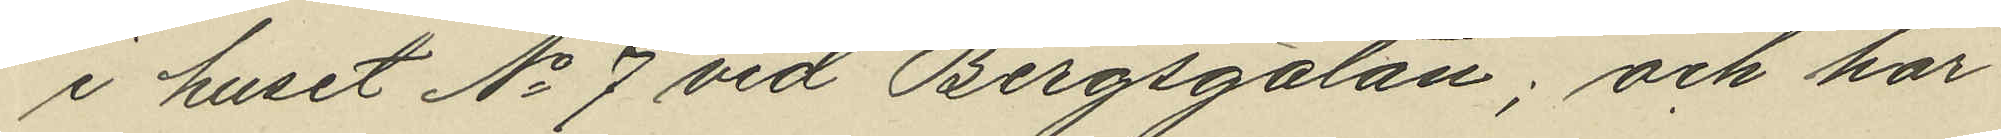i huset No 7 vid Bergsgatan; och har
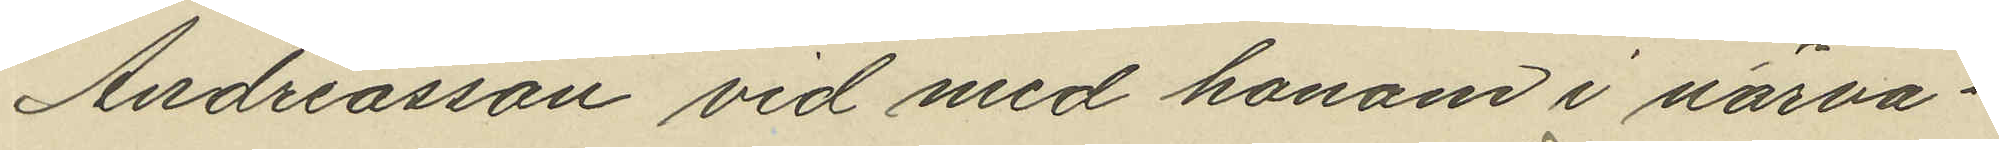Andreasson vid med honom i närva¬
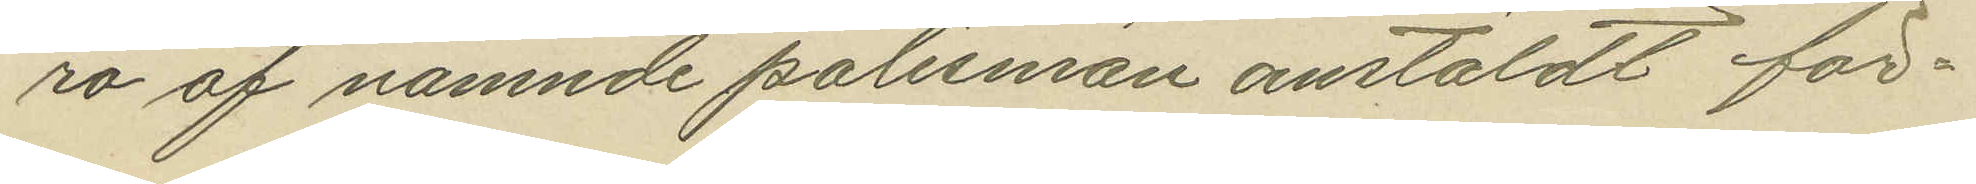ro af nämnde polismän anstäldt för¬
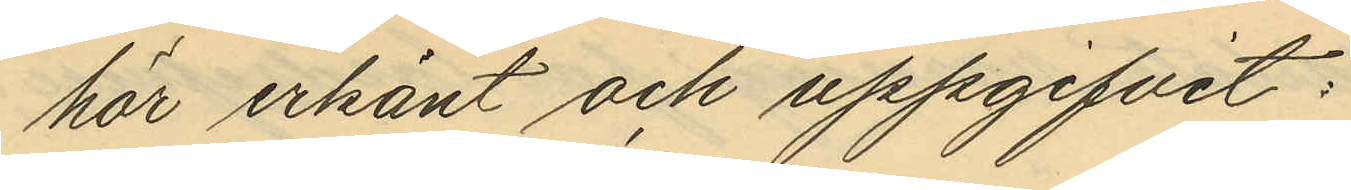hör erkänt och uppgifvit:
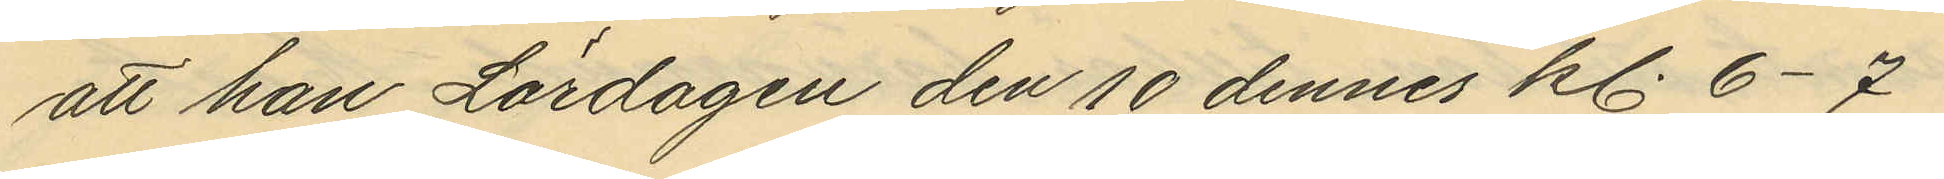att han Lördagen den 10 dennes kl. 6-7
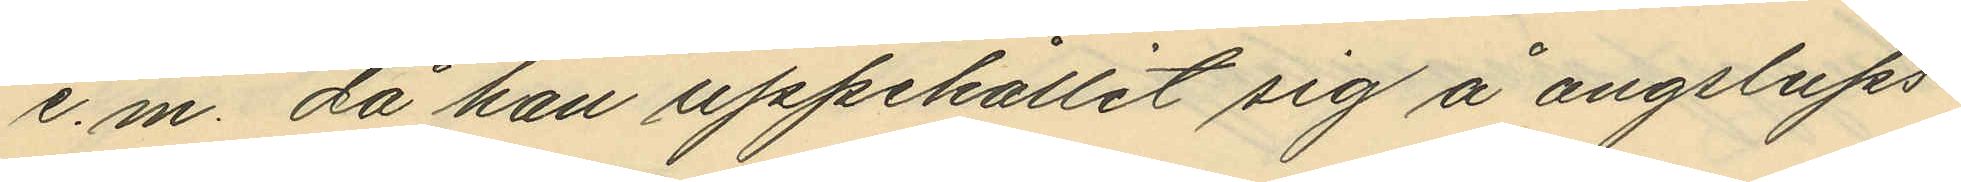e.m. då han uppehållit sig å ångslups¬
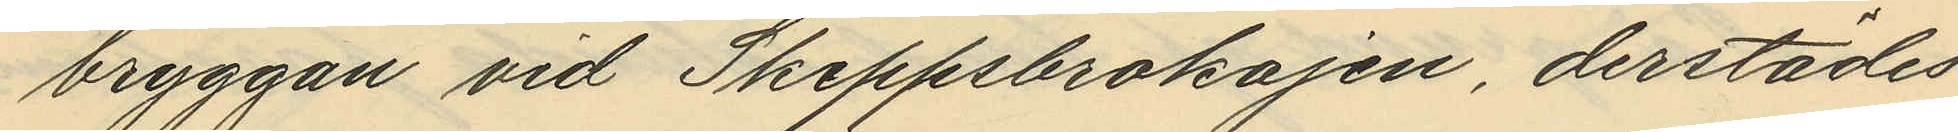bryggan vid Skeppsbrokajen, derstädes
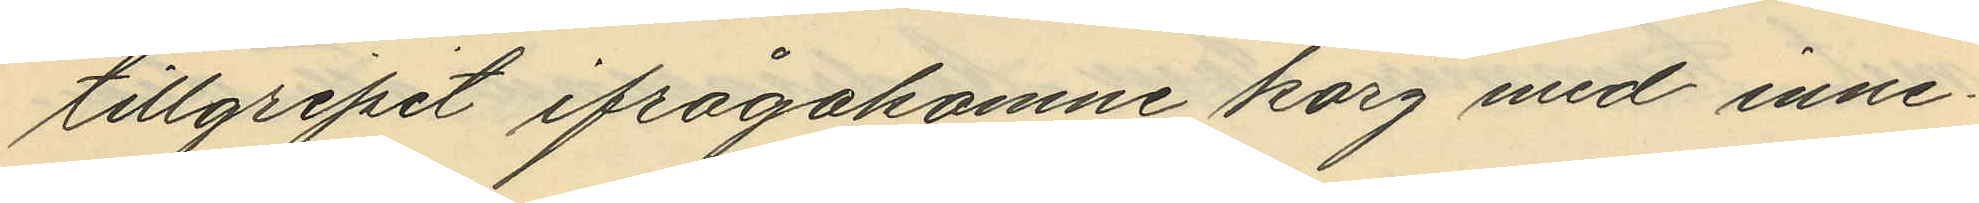tillgripit ifrågakomne korg med inne¬
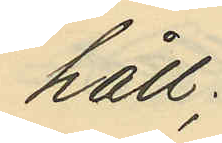håll.
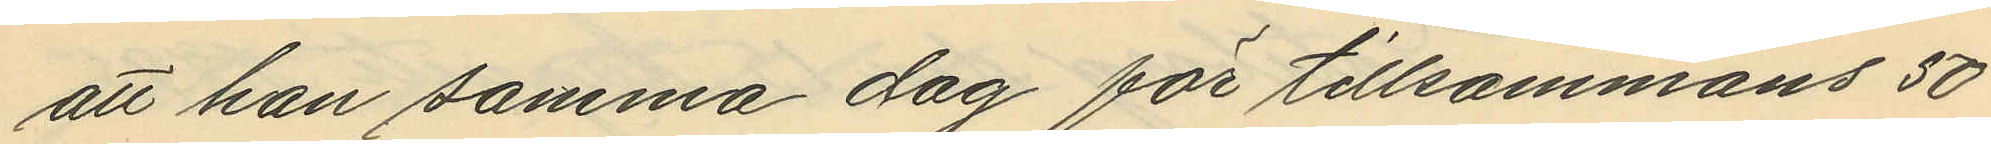att han samma dag för tillsammans 50
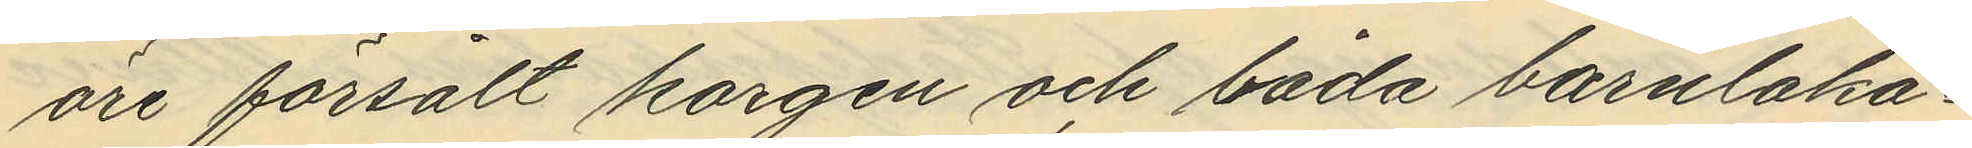öre försålt korgen och båda barnlaka¬
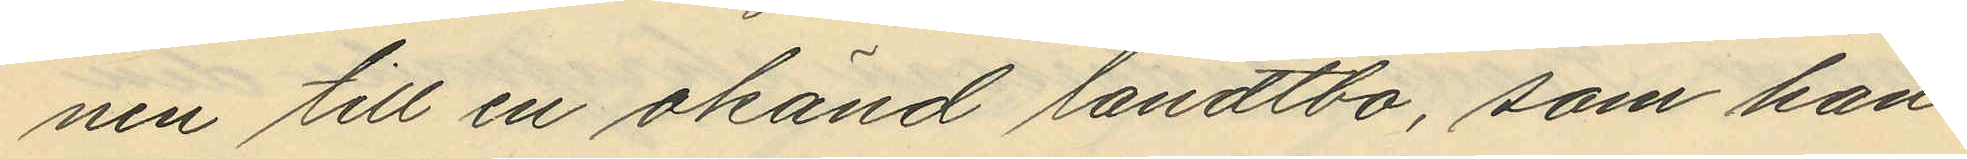nen till en okänd landtbo, som han
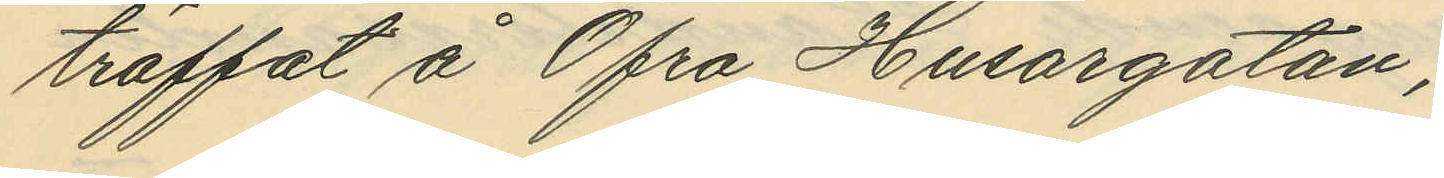träffat å Öfre Husargatan;
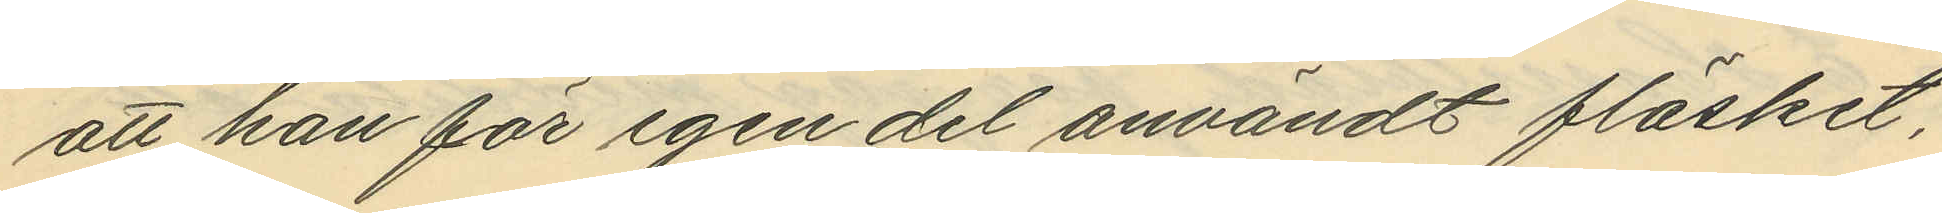att han för egen del användt fläsket,
